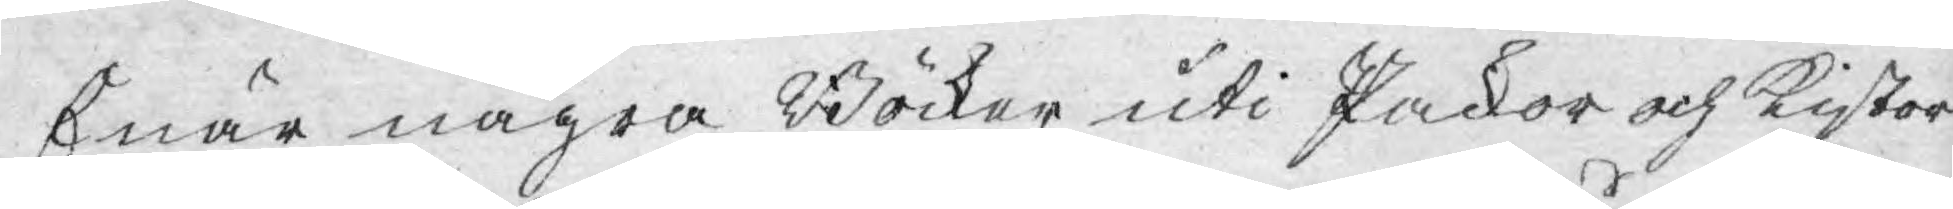Enär några Böcker uti Packor och Kistor
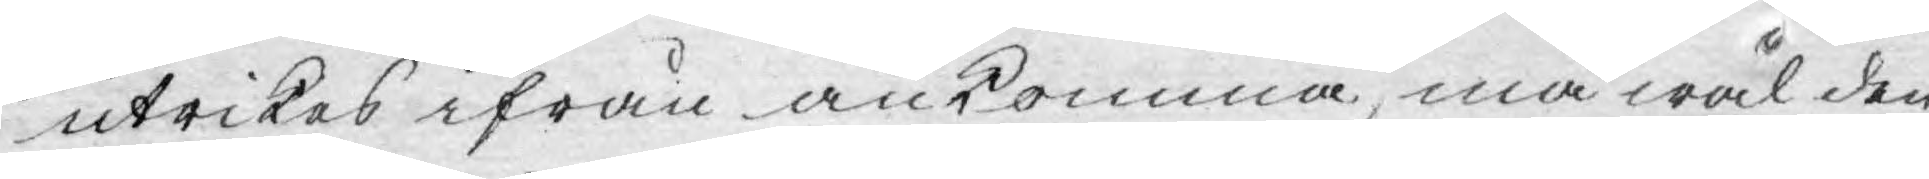utrikes ifrån ankomma, må wäl den
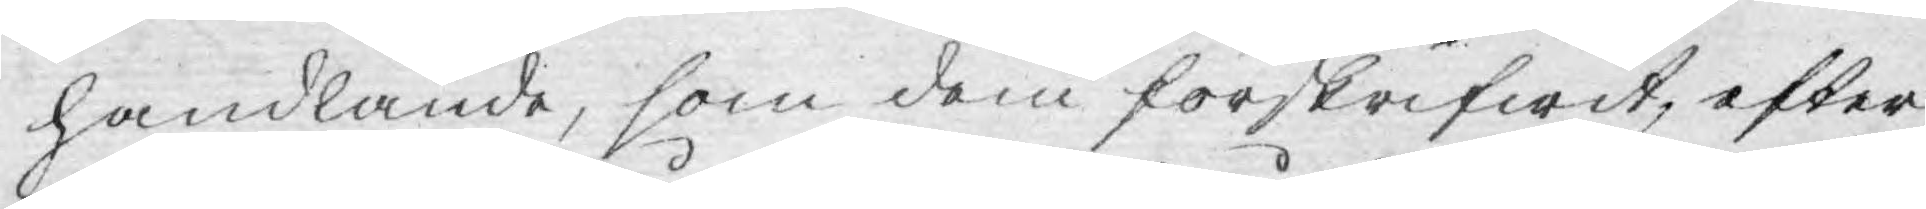handlande, som dem förskrifwit, efter
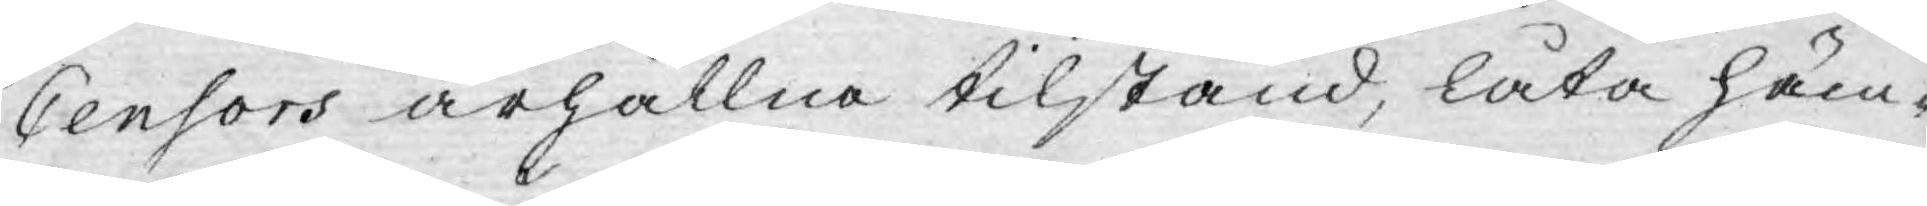Censors ärhållna tilstånd, låta häm¬
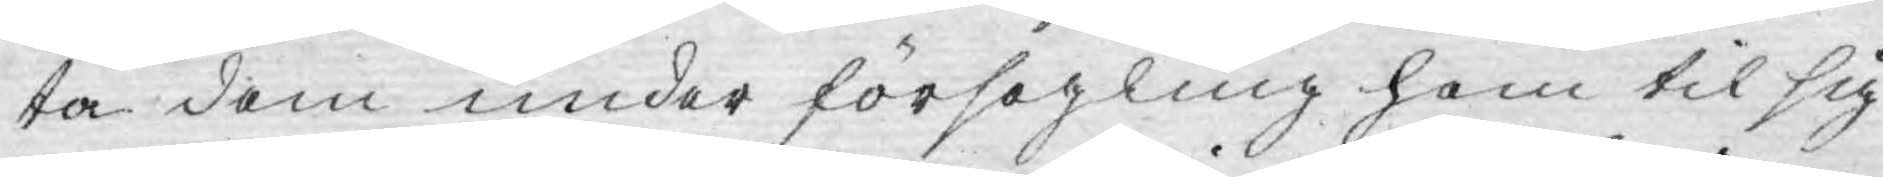ta dem under försegling hem til sig
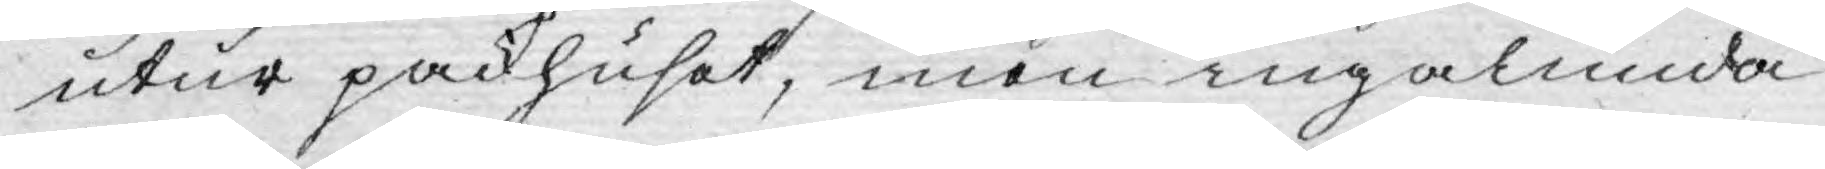utur packhuset, men ingalunda
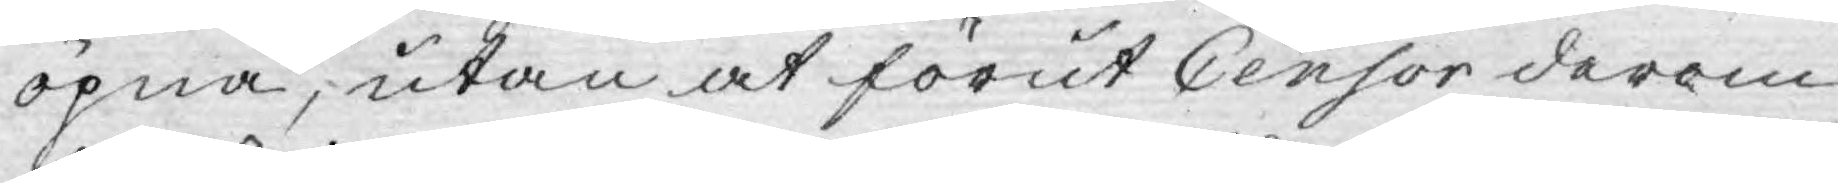öpna, utan at förut Censor derom
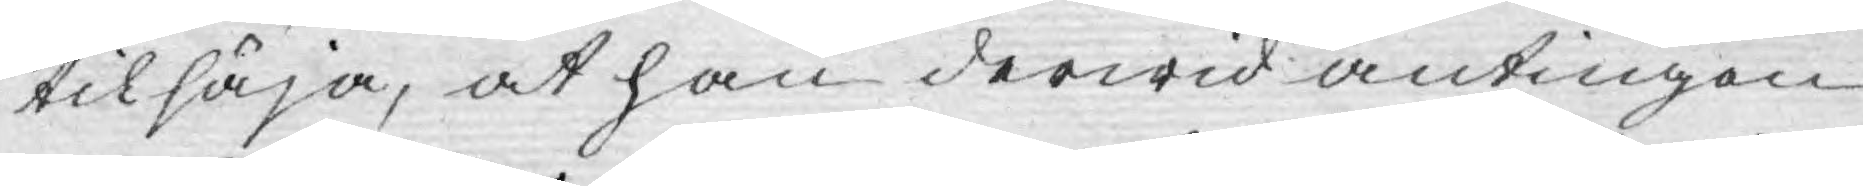tilsäja, at han derwid antingen
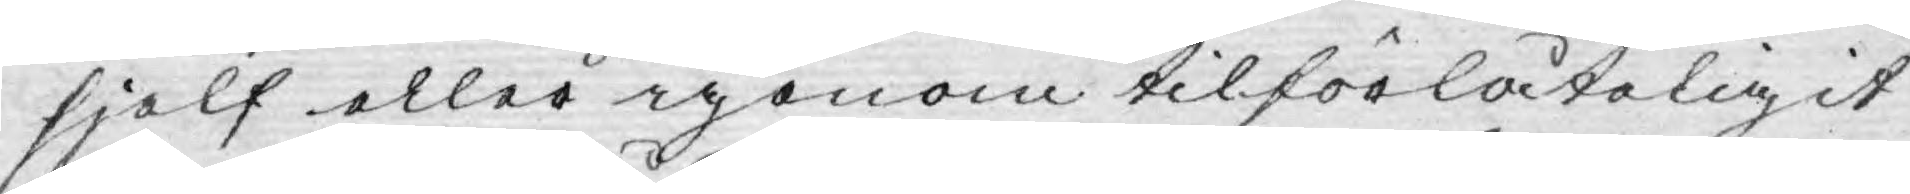sjelf eller igenom tilförlåteligit
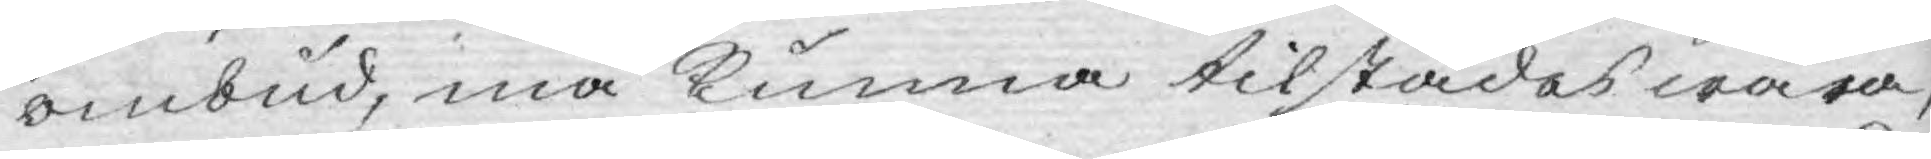ombud, må kunna tilstädes wara,
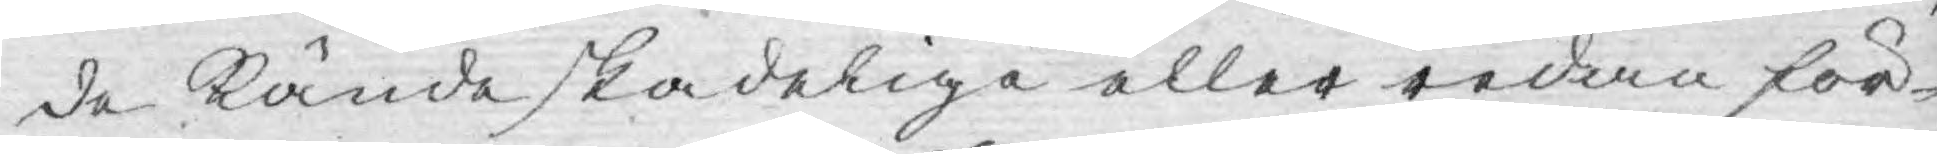de Kände skadeliga eller redan för¬
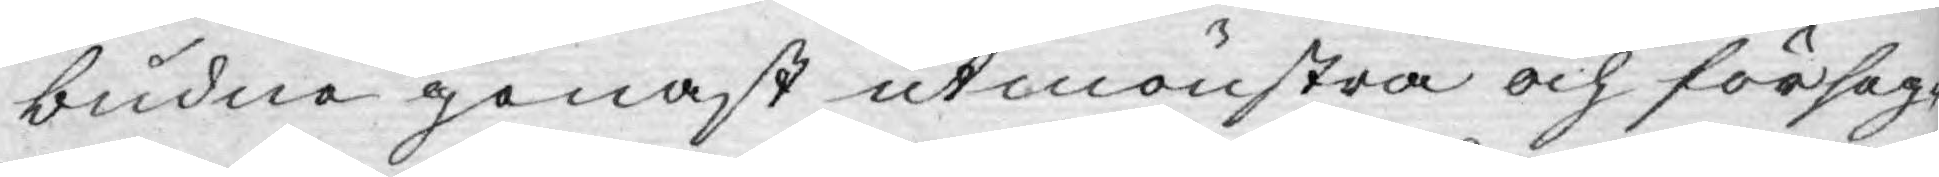budne genast utmönstra och förseg¬
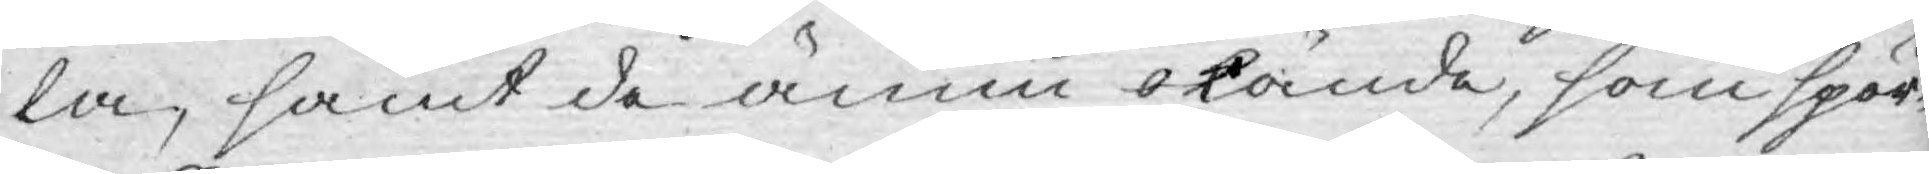la, samt de ännu okände, som spör¬
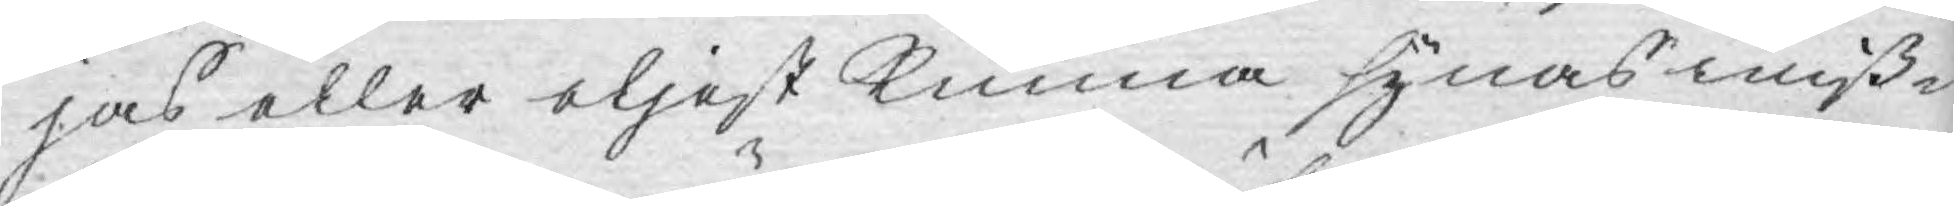jas eller eljest Kunna synas miß¬
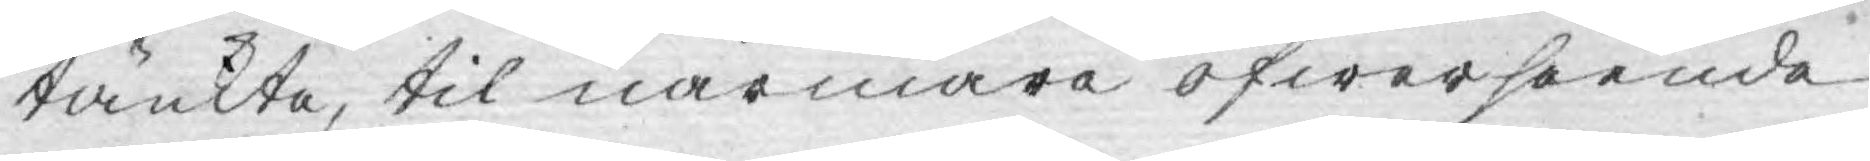tänkte, til närmare öfwerseende
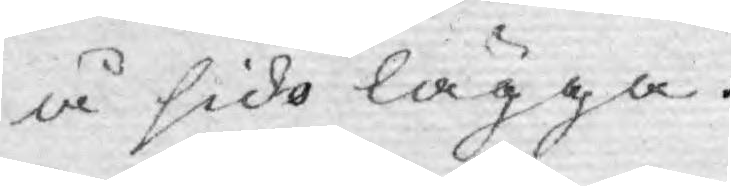å sido lägga.
